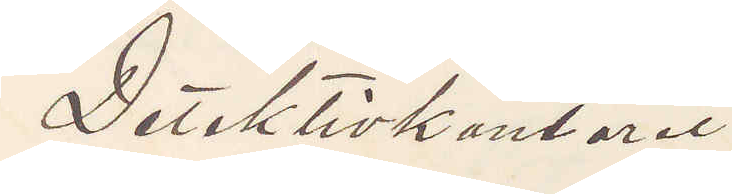Detektivkontoret
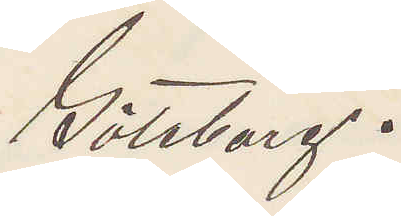Göteborg.
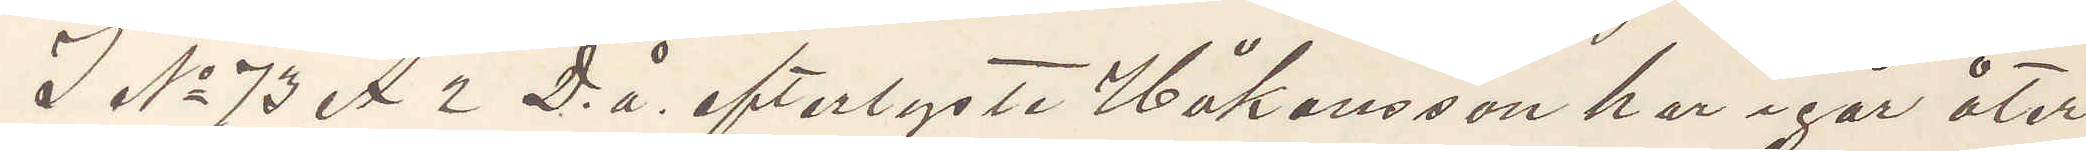I No 73 A 2 D. å. efterlyste Håkansson har igår åter
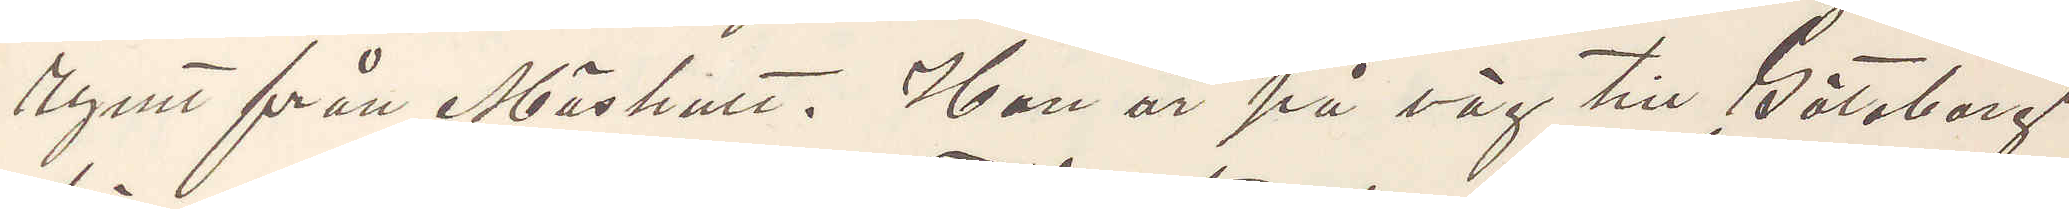rymt från Mäshult. Han är på väg till Göteborg
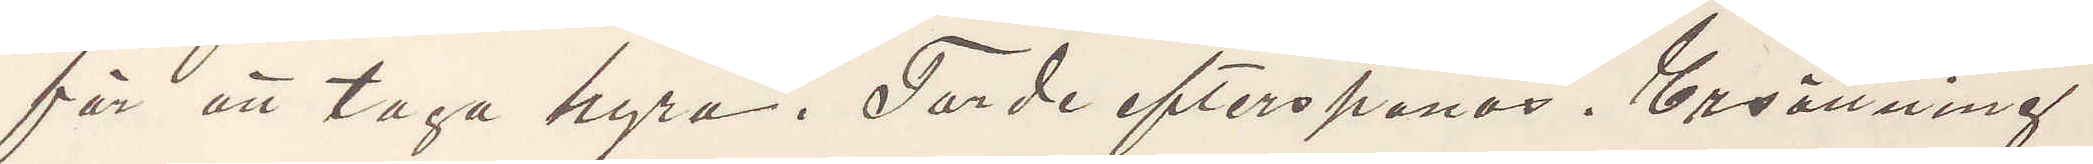för att taga hyra. Torde efterspanas. Ersättning
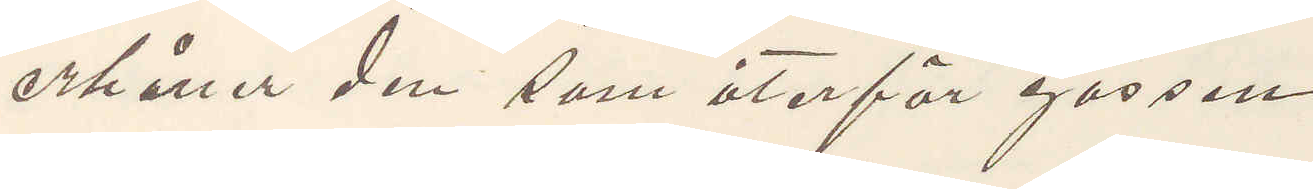erhåller den som återför gossen.
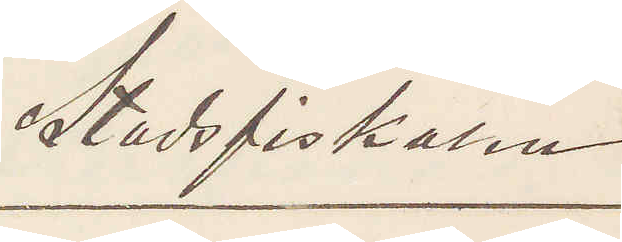Stadsfiskalen
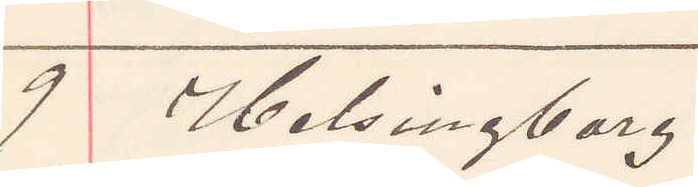9 Helsingborg.
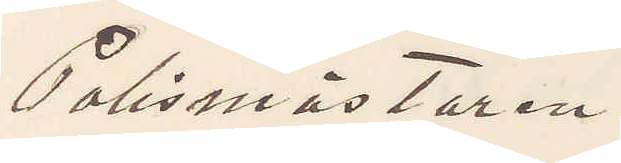Polismästaren
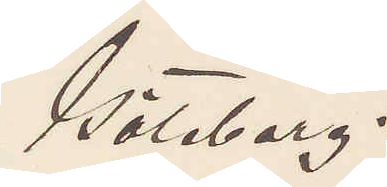Göteborg.
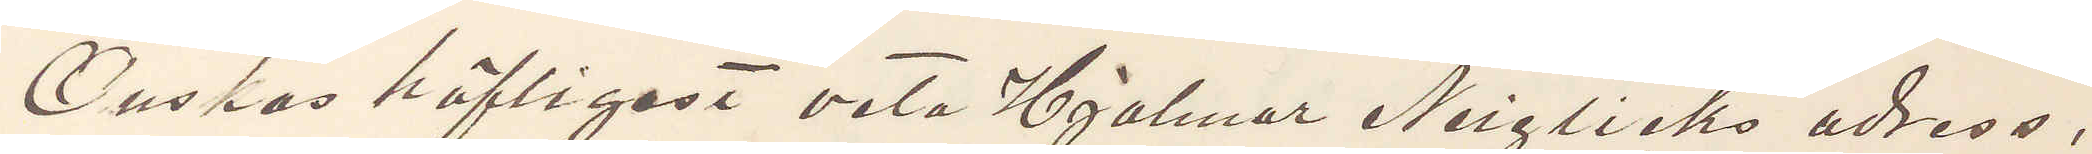Önskas höfligast veta Hjalmar Neiglicks adress,
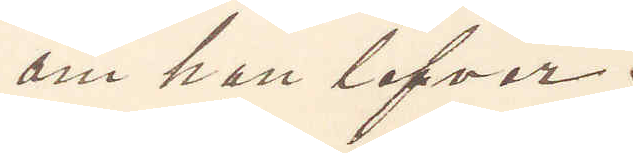om han lefver.
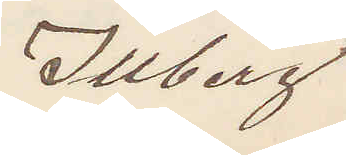Illberg
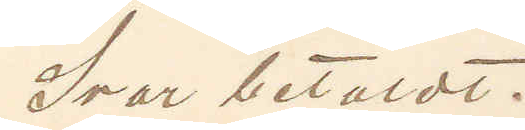Svar betaldt.
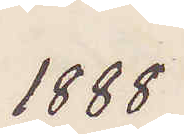1888
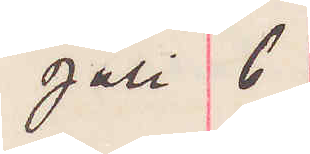Juli 6
